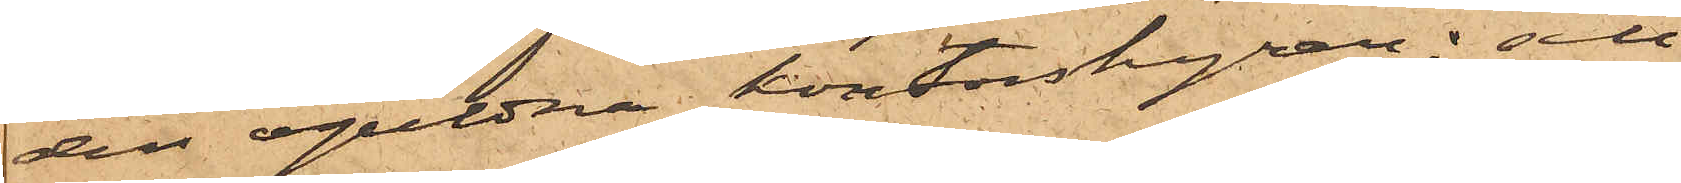den oguldna kontorshyran; att
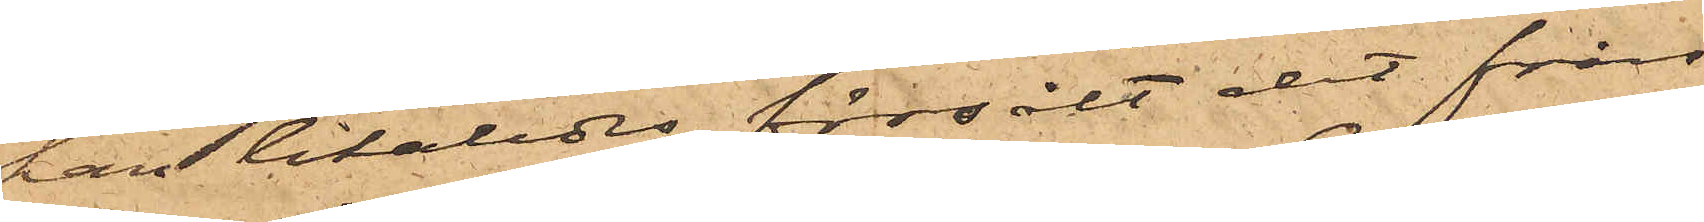han likaledes försålt det från
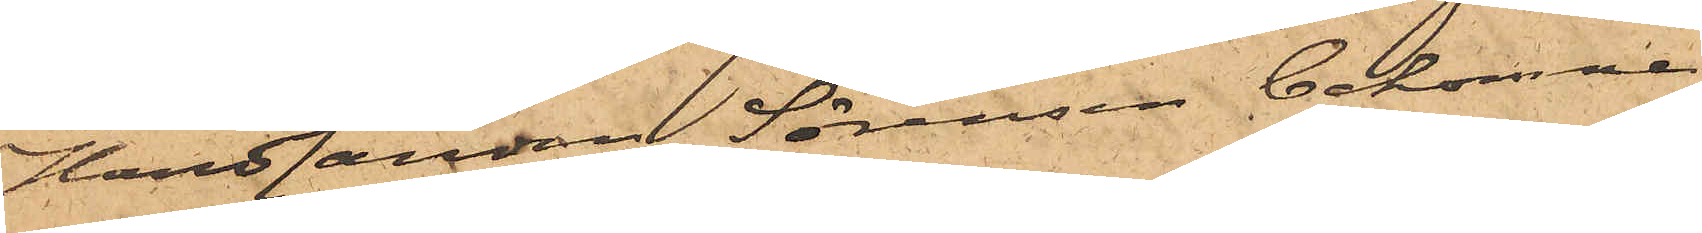Handlanden Sörensen bekomne
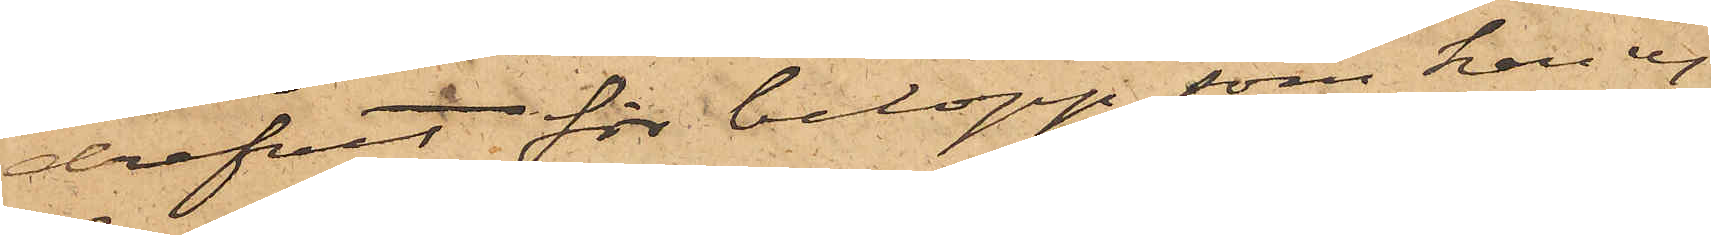drefvet för belopp, som han ej
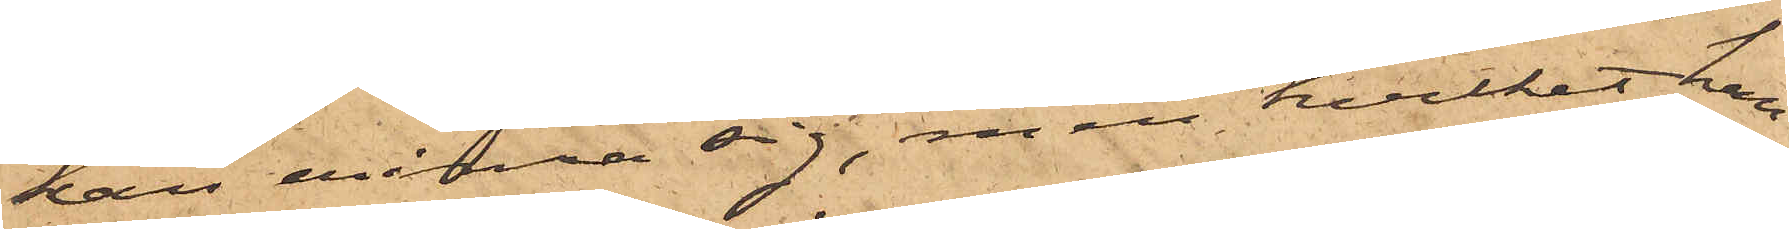kan erinra sig, men hvilket han
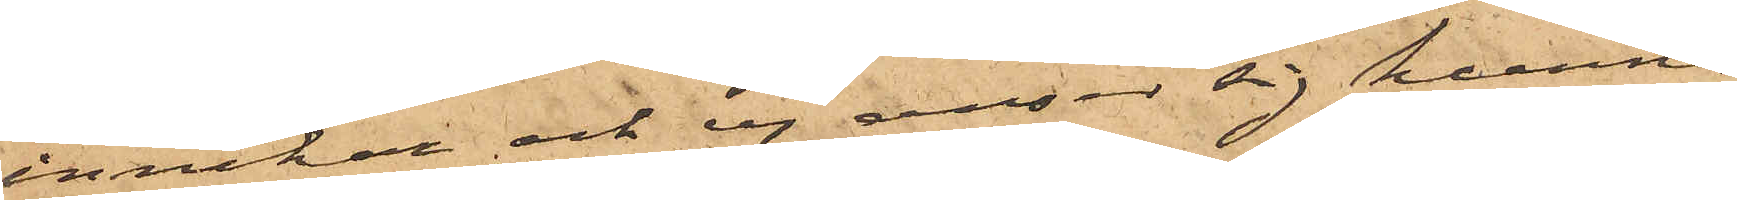innehar och ej anser sig kunna
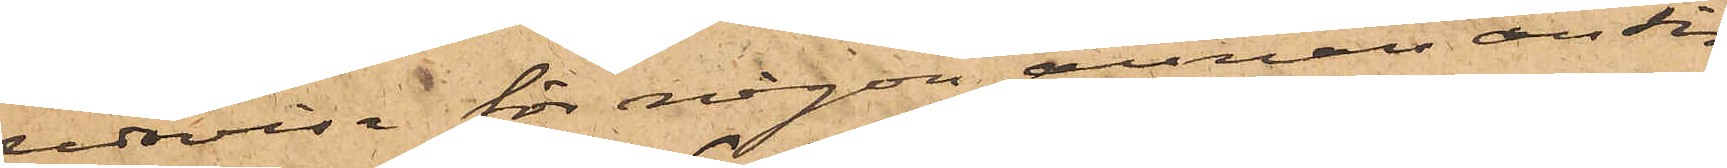redovisa för någon annan än sin
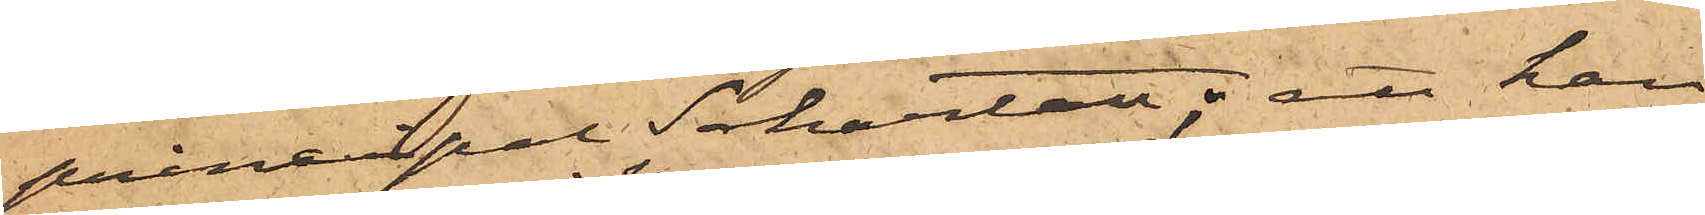principal Schartau; att han
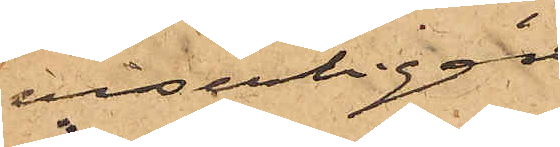visserligen
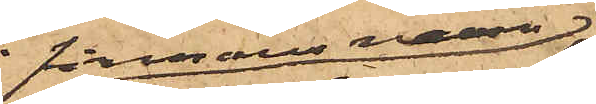i firmans namn
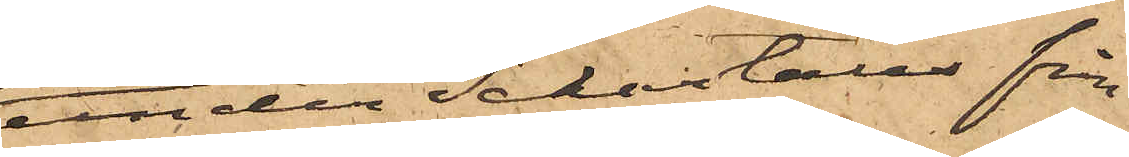under Schartaus från¬
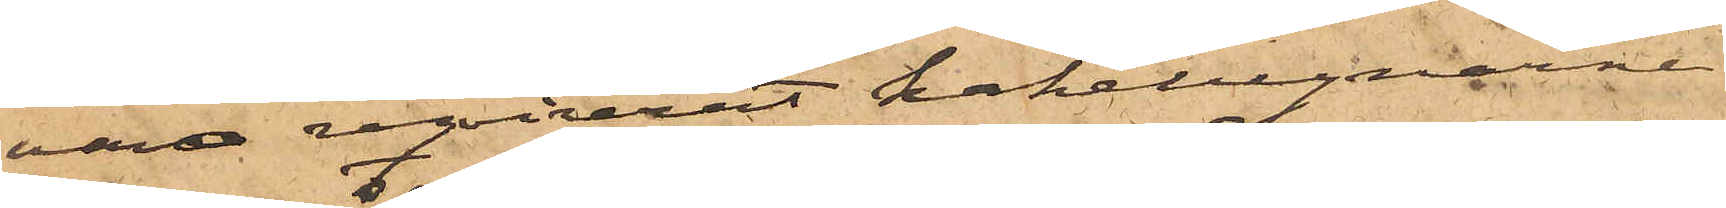varo reqvirerat kakelugnarne
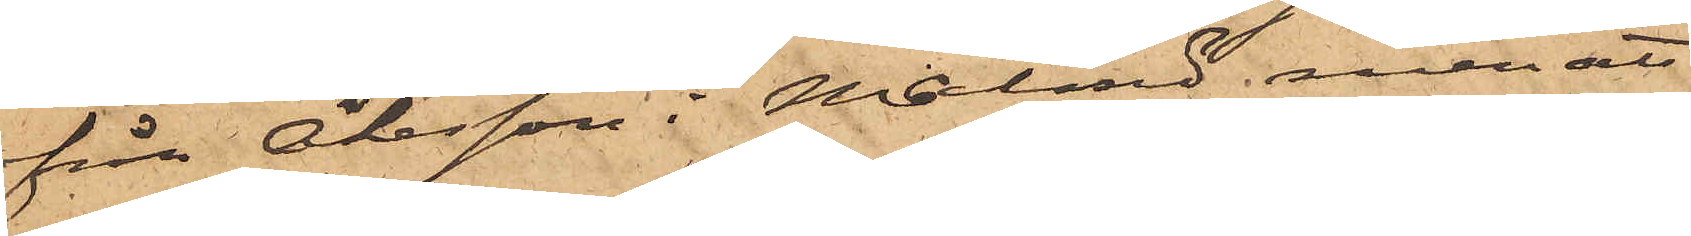från Åkesson i Malmö men att
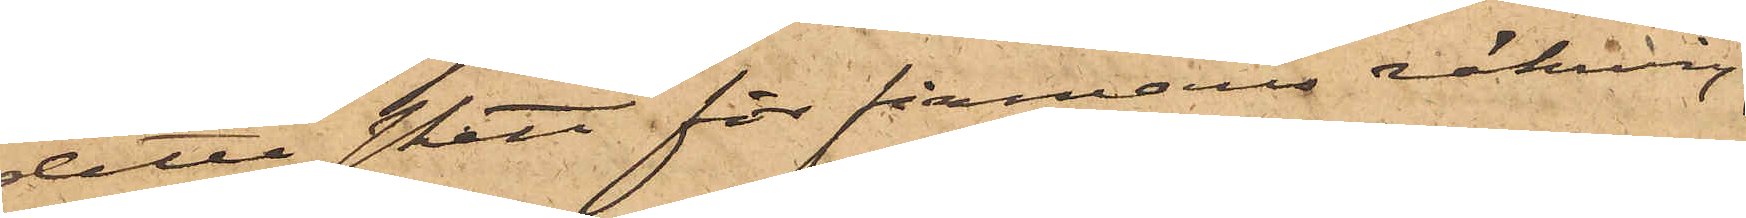detta skett för firmans räkning,
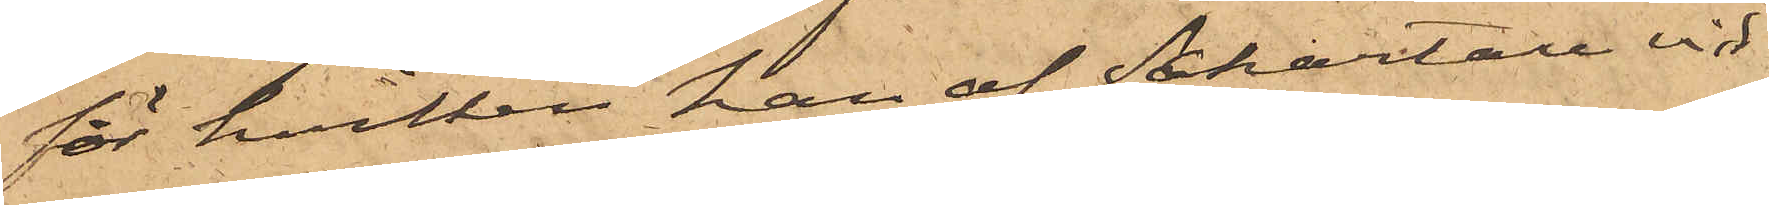för hvilken han af Schartau vid
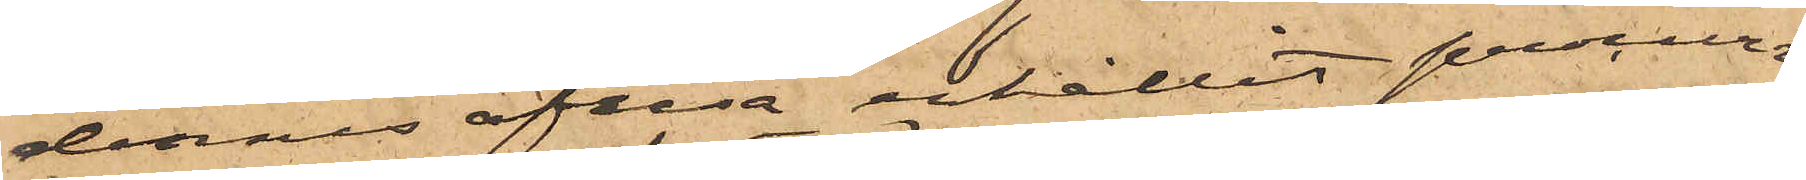dennes afresa erhållit procurs¬
